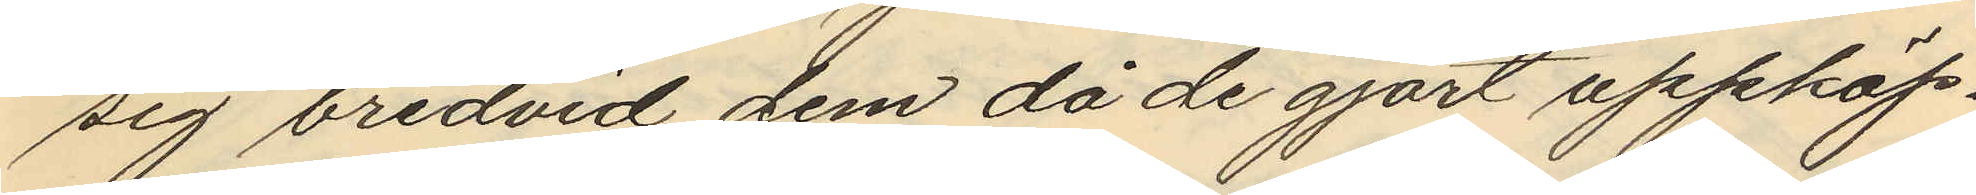sig bredvid dem då de gjort uppköp.
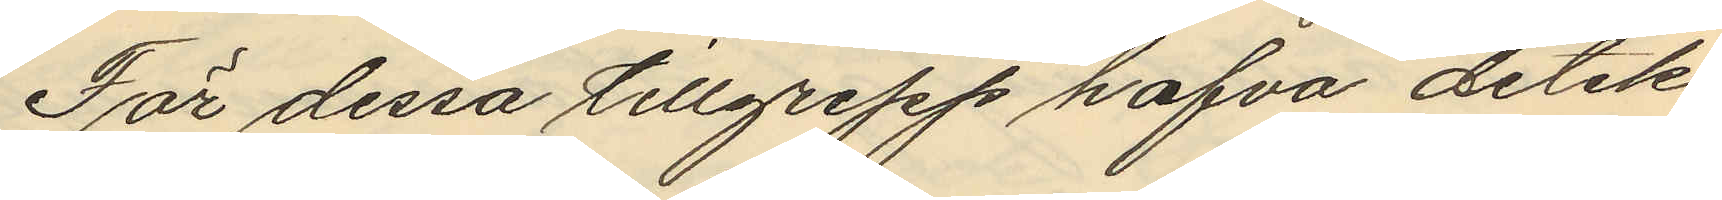För dessa tillgrepp hafva detek¬
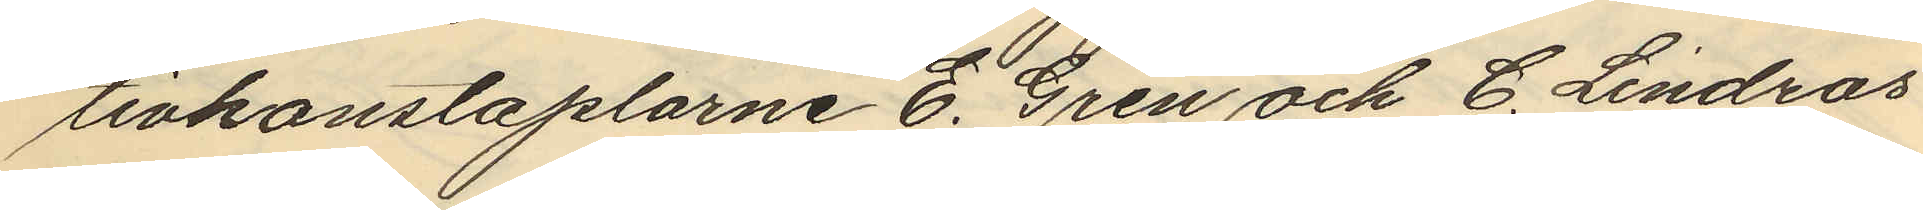tivkonstaplarne E. Gren och C. Lindros
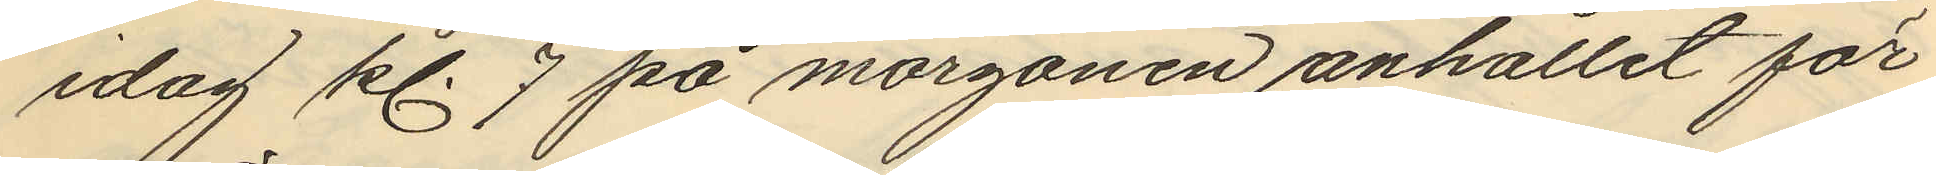idag kl. 7 på morgonen anhållit för
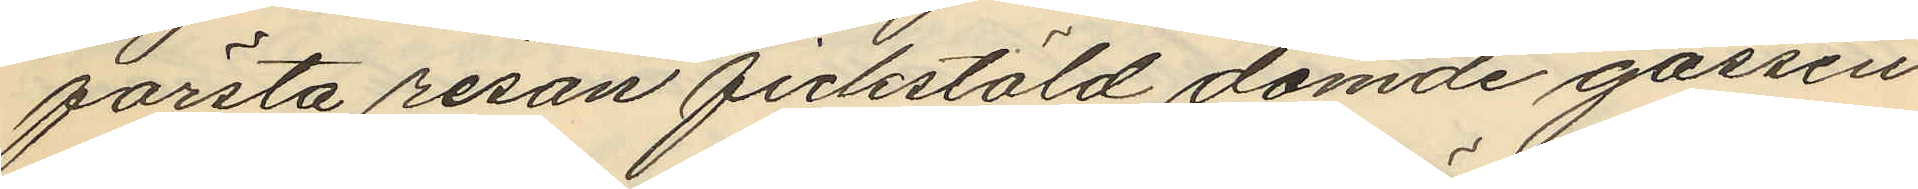första resan fickstöld dömde gossen
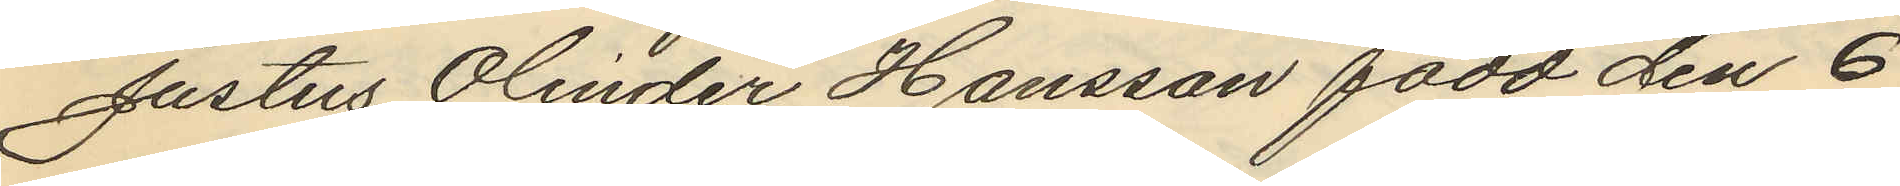Justus Olinder Hansson född den 6
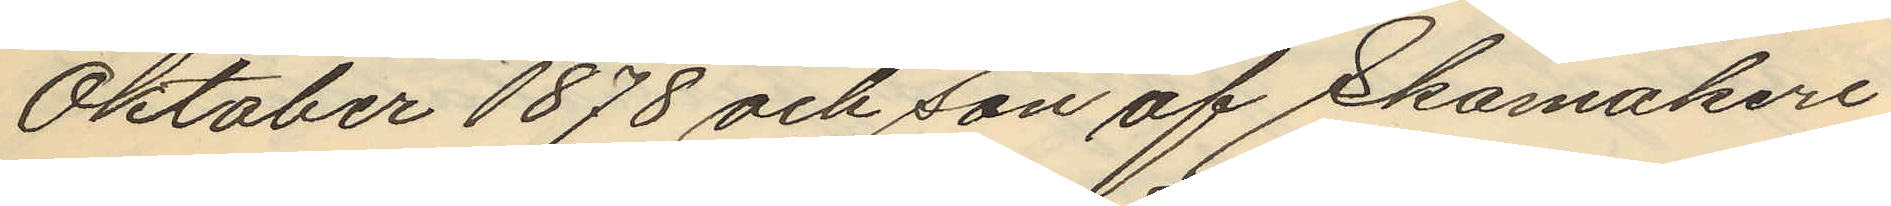Oktober 1878 och son af Skomakeri¬
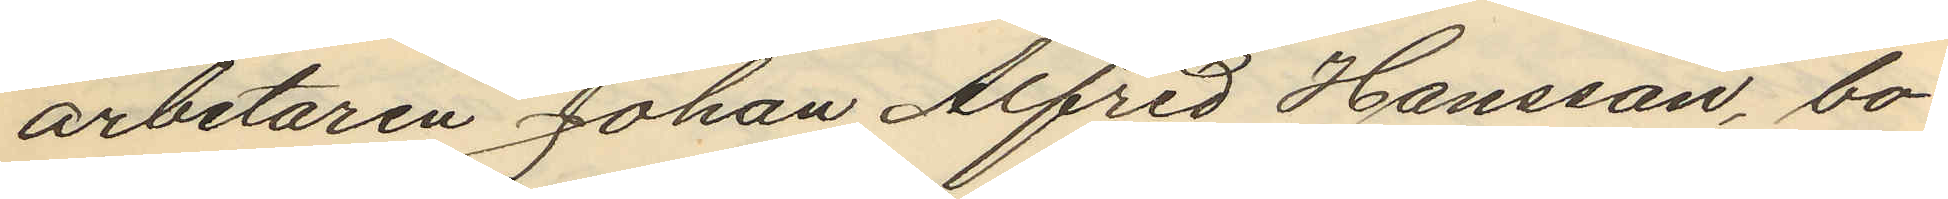arbetaren Johan Alfred Hansson, bo¬
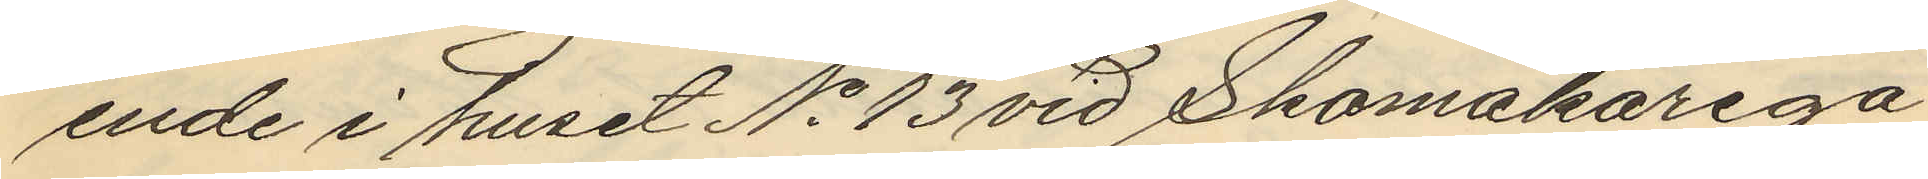ende i huset No 13 vid Skomakarega¬
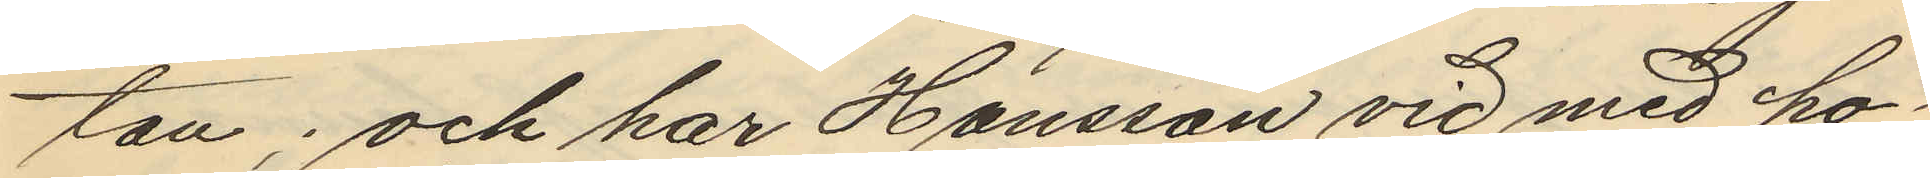tan; och har Hansson vid med ho¬
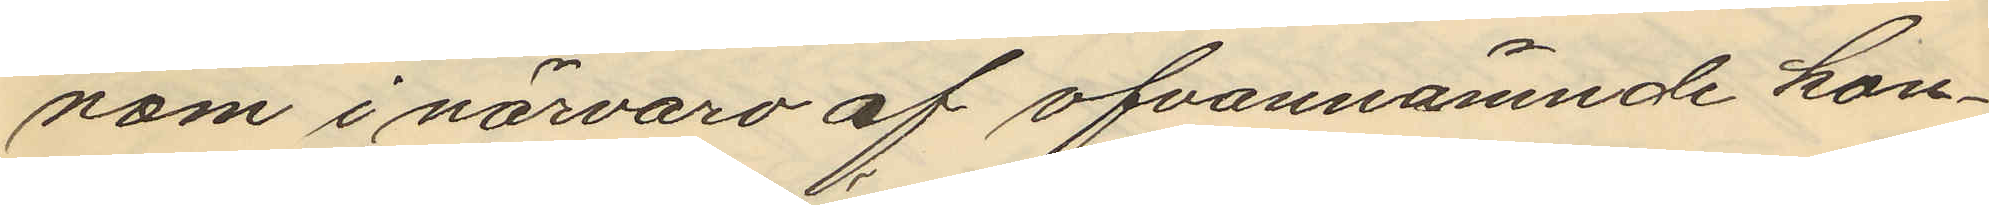nom i närvaro af ofvannämnde kon¬
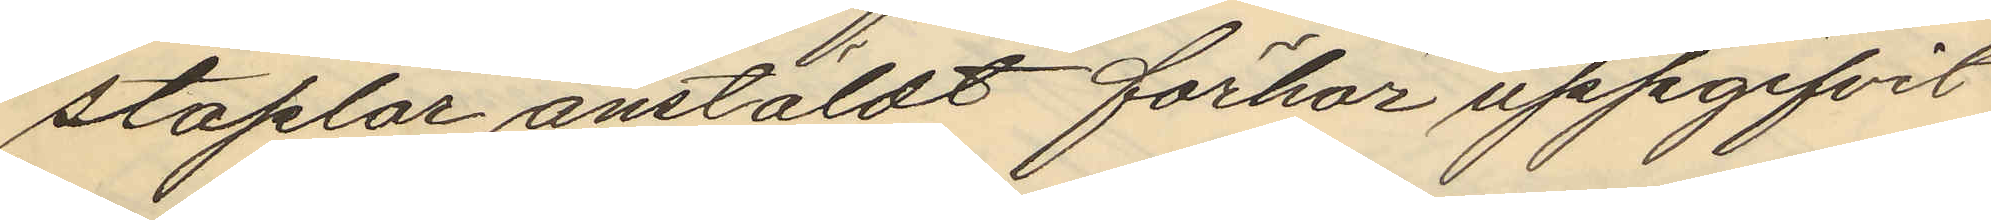staplar anstäldt förhör uppgifvit
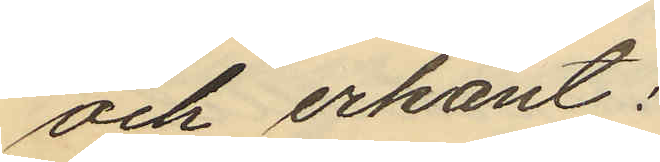och erkänt:
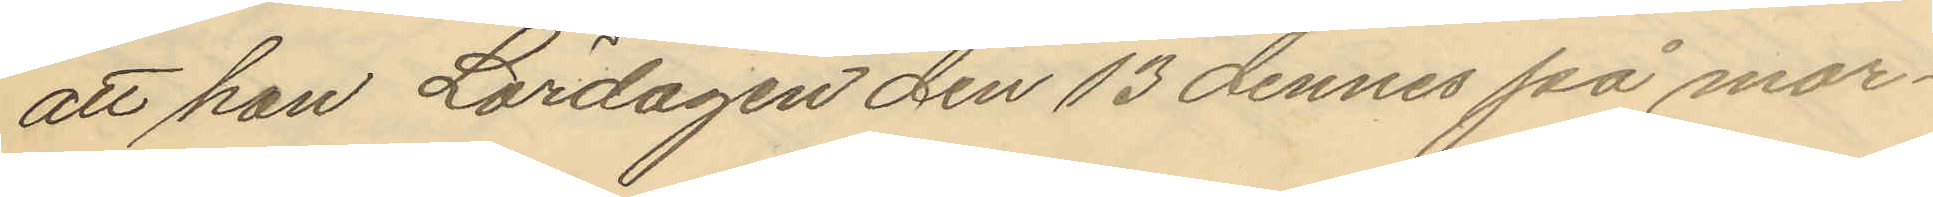att han Lördagen den 13 dennes på mor¬
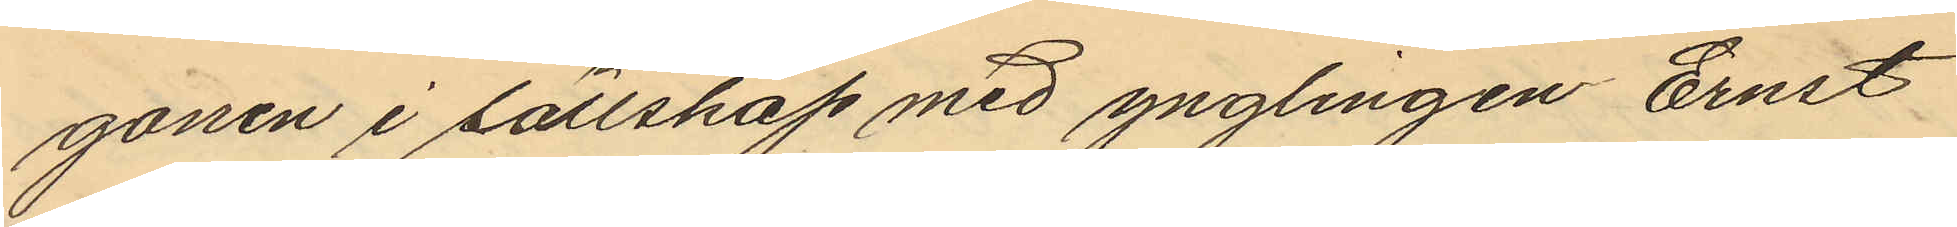gonen i sällskap med ynglingen Ernst
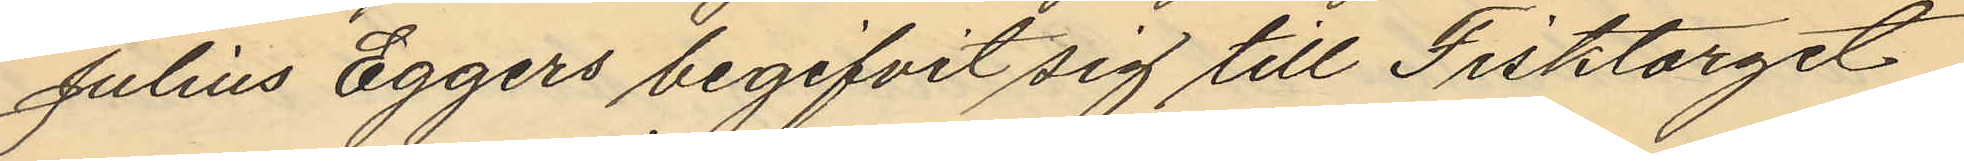Julius Eggers begifvit sig till Fisktorget
